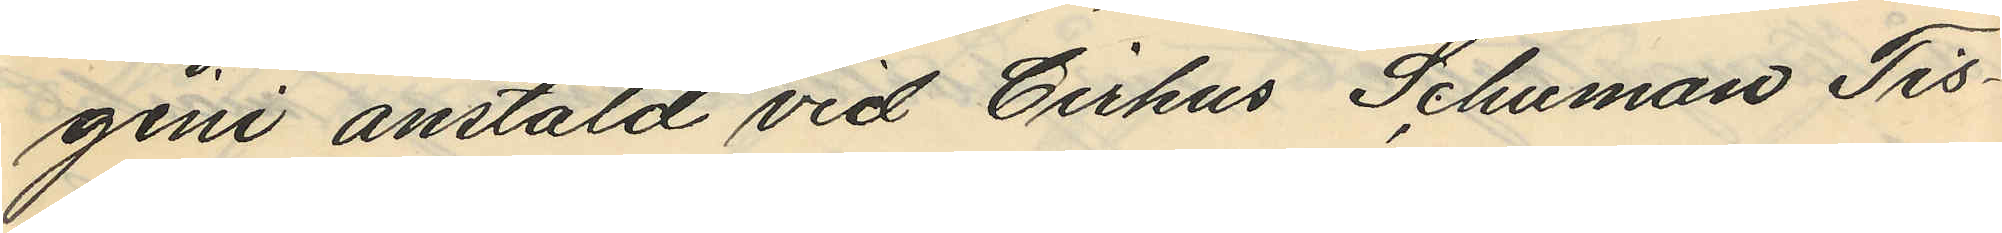gini anstäld vid Cirkus Schuman Tis¬
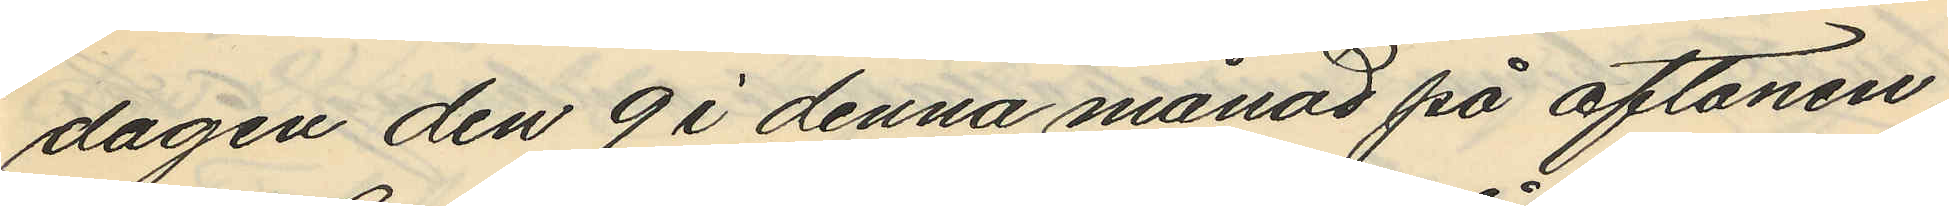dagen den 9 i denna månad på aftonen
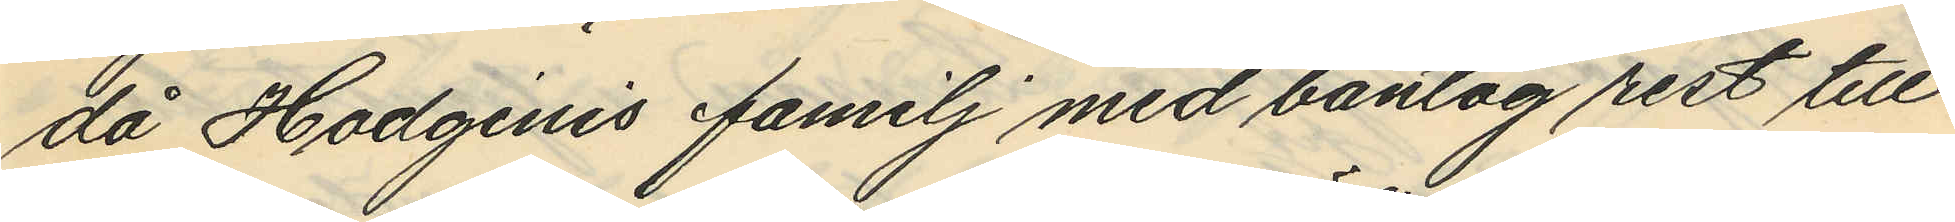då Hodginis familj med bantåg rest till
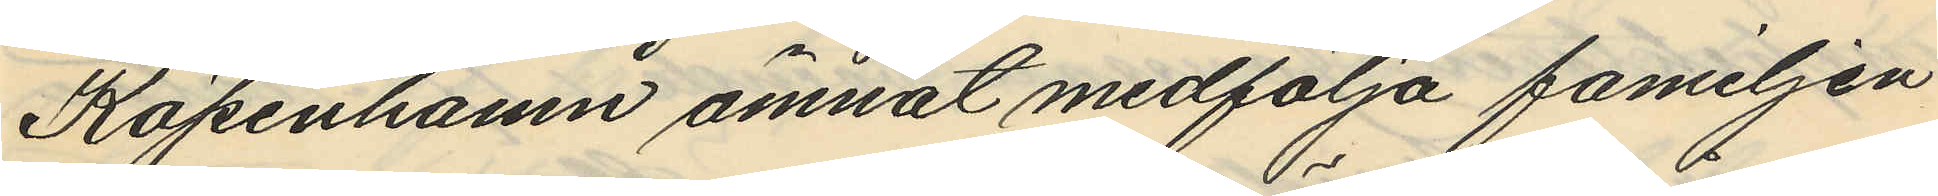Köpenhamn ämnat medfölja familjen
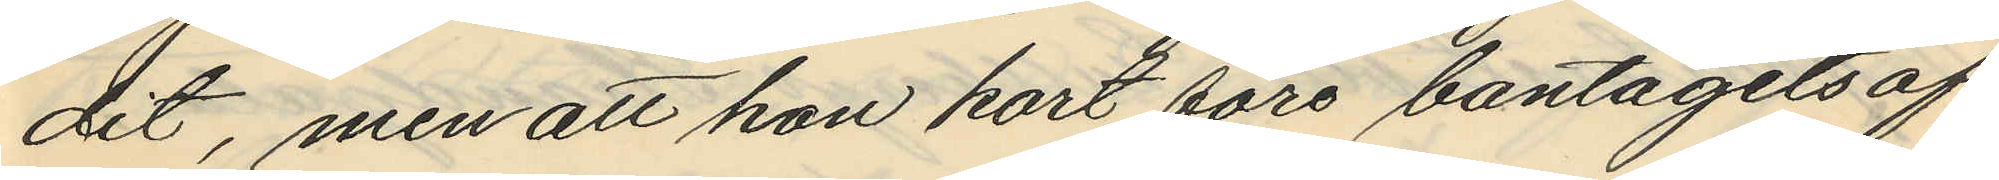dit, men att hon kort före bantågets af¬
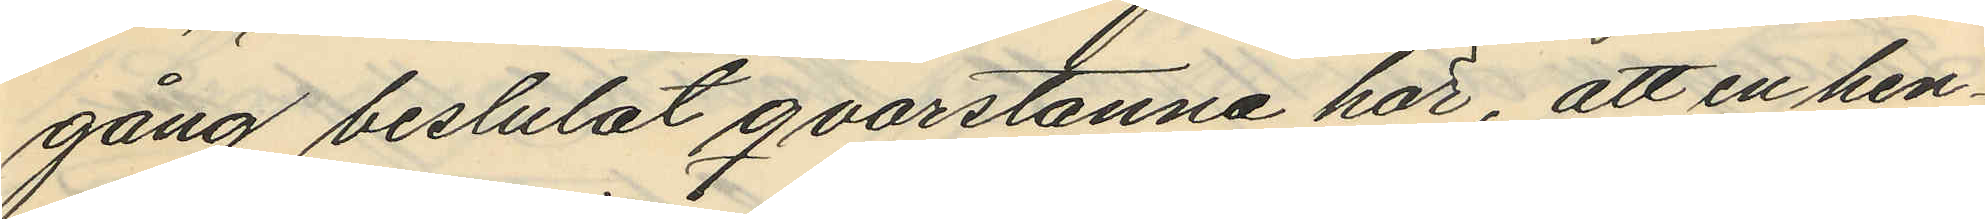gång beslutat qvarstanna här, att en hen¬
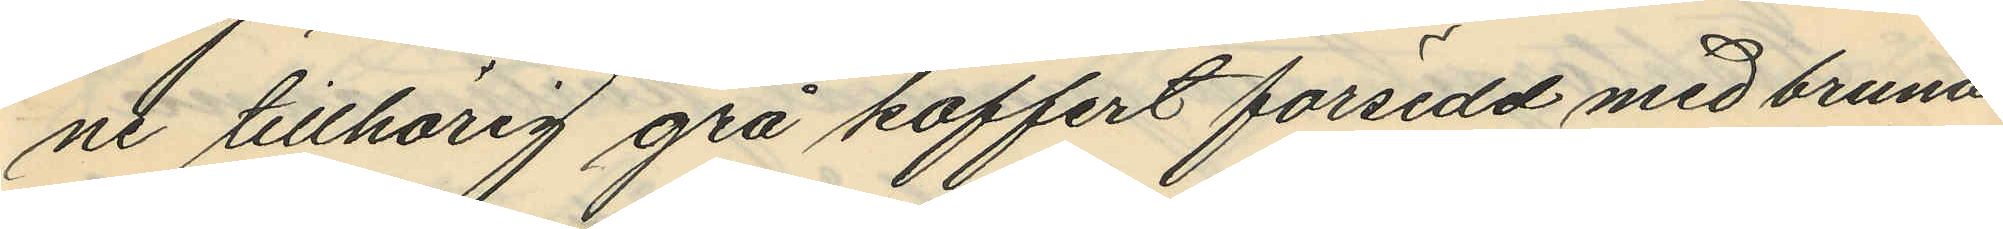ne tillhörig grå koffert försedd med bruna
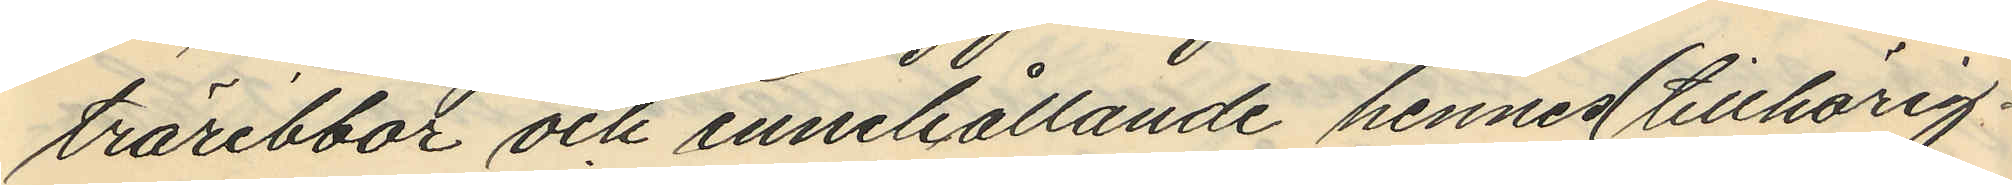träribbor och innehållande hennes (tillhörig¬
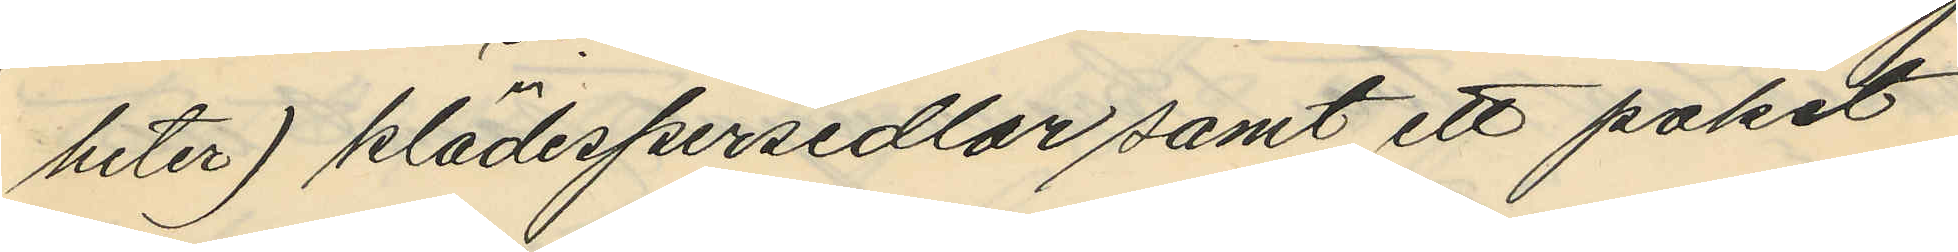heter) klädespersedlar samt ett paket
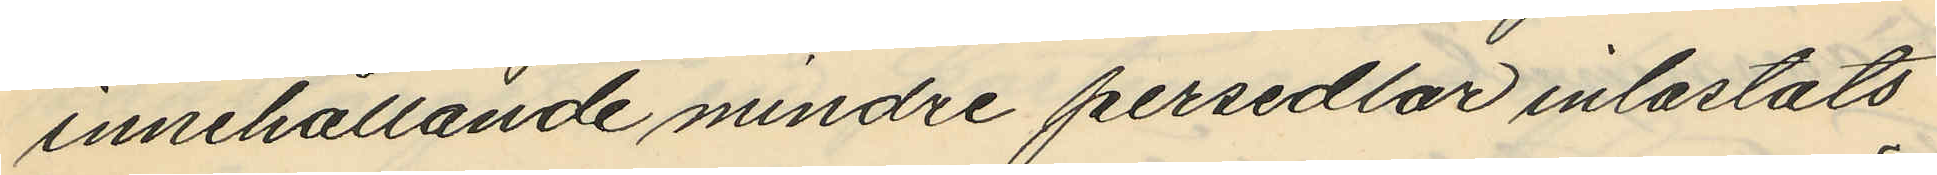innehållande mindre persedlar inlastats
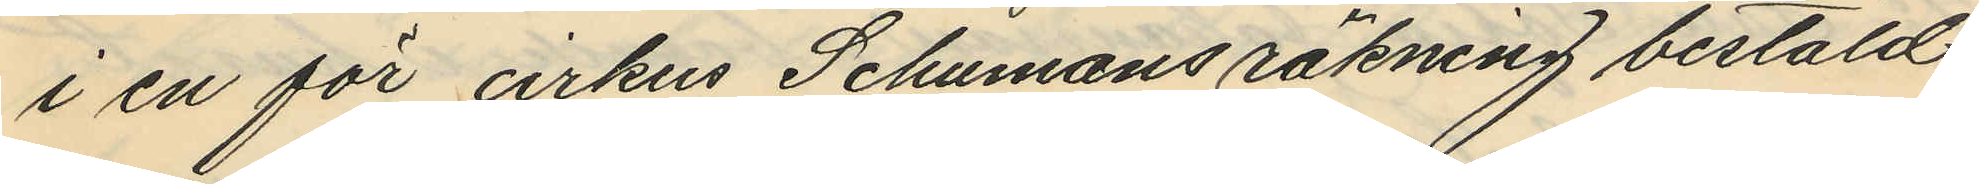i en för crkus Schumans räkning bestäld
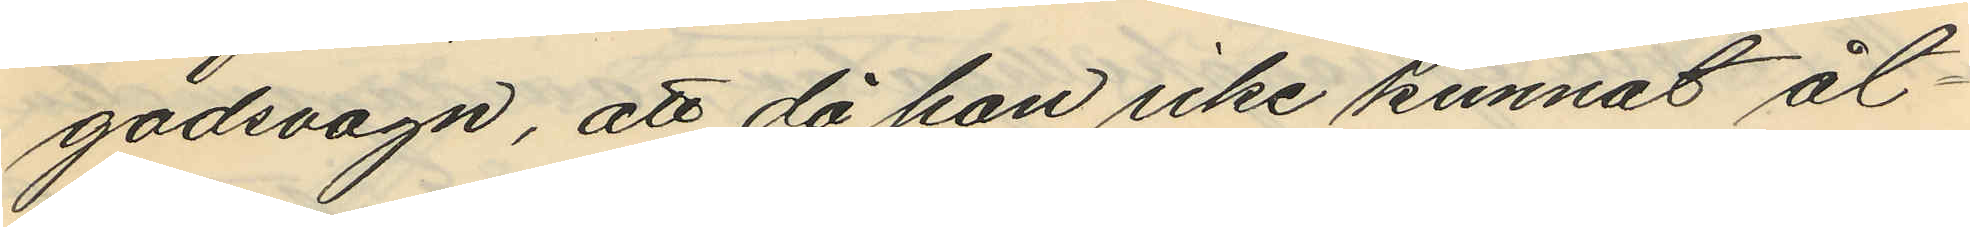godsvagn, att då hon icke kunnat åt¬
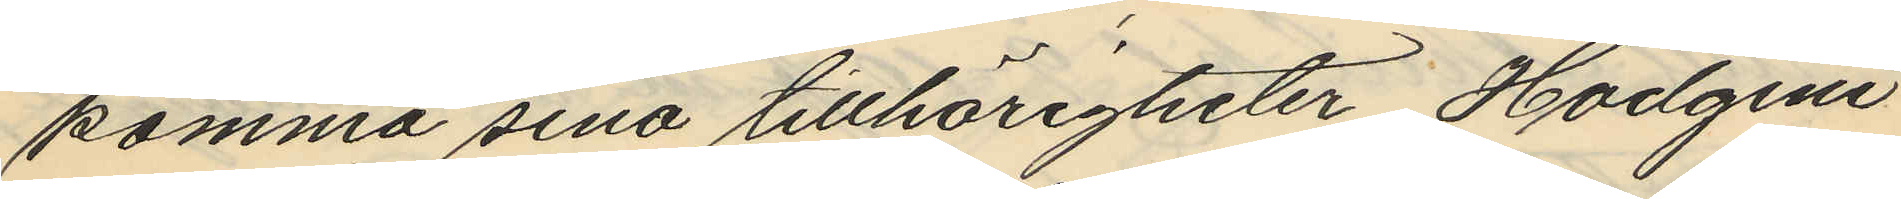komma sina tillhörigheter, Hodgini
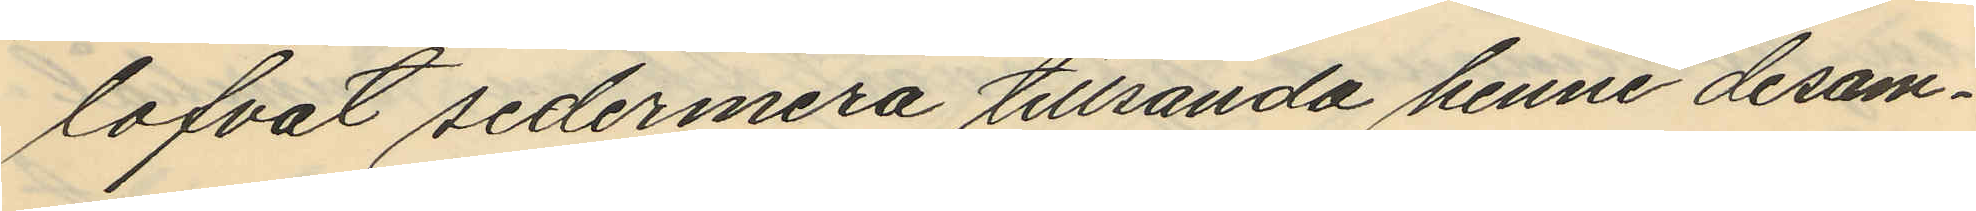lofvat sedermera tillsända henne desam¬
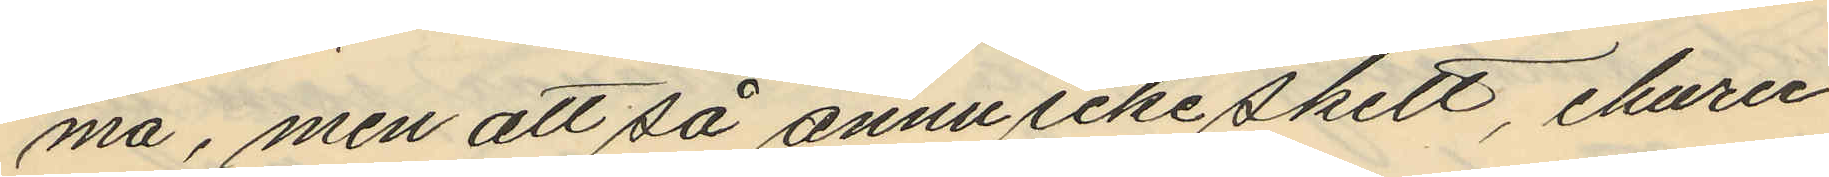ma, men att så ännu icke skett, ehuru
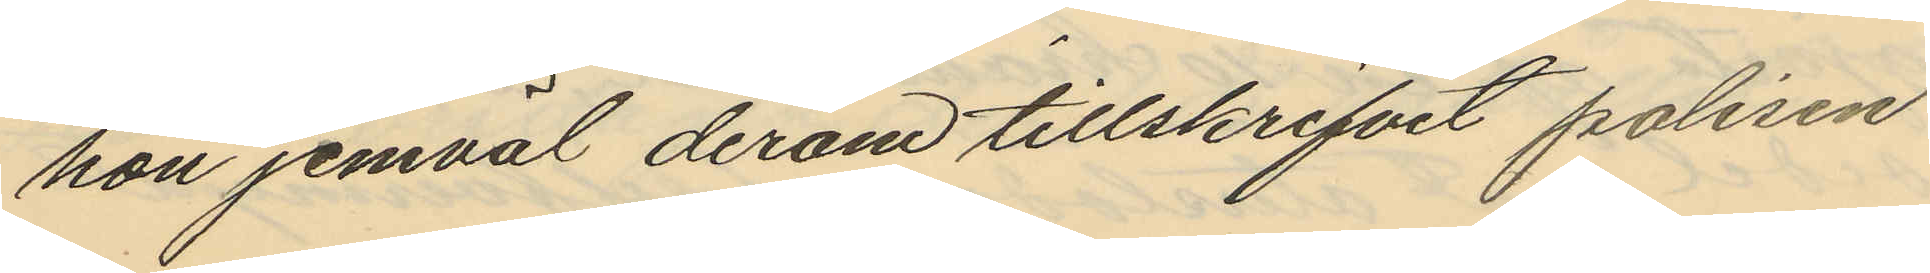hon jemväl derom tillskrifvit polisen
